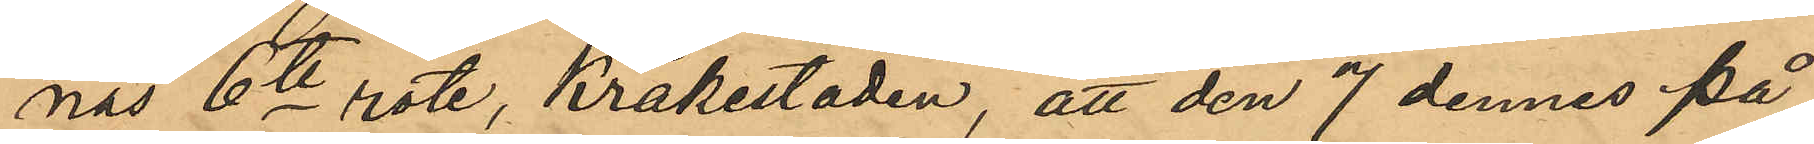nas 6te rote, Kråkestaden, att den 7 dennes på
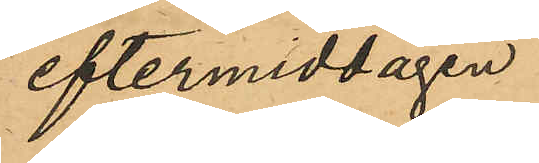eftermiddagen
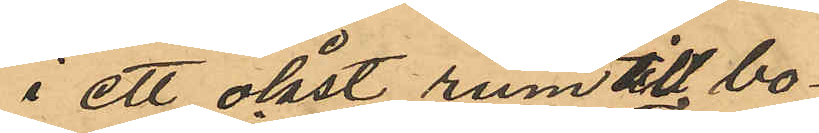i ett olåst rum till bo¬
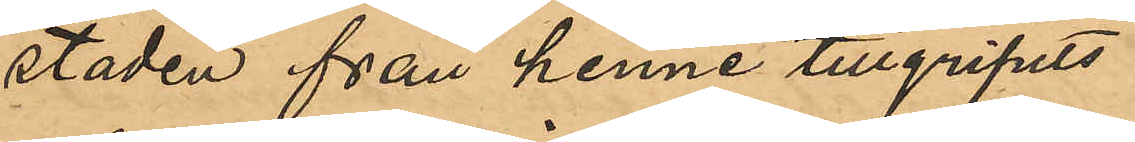staden från henne tillgripits
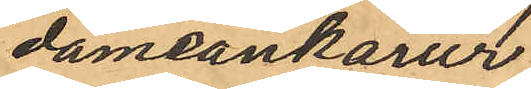dameankarur
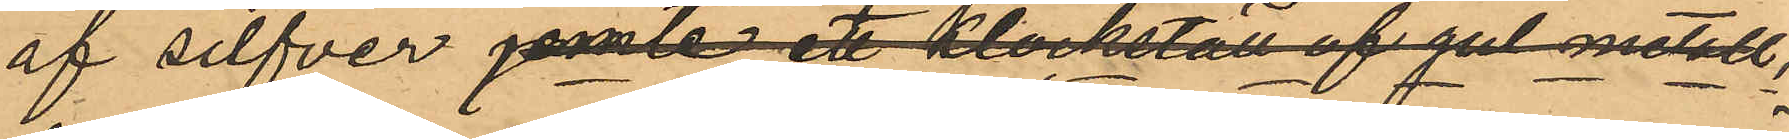af silfver jemte ett klockställ af gul metall,
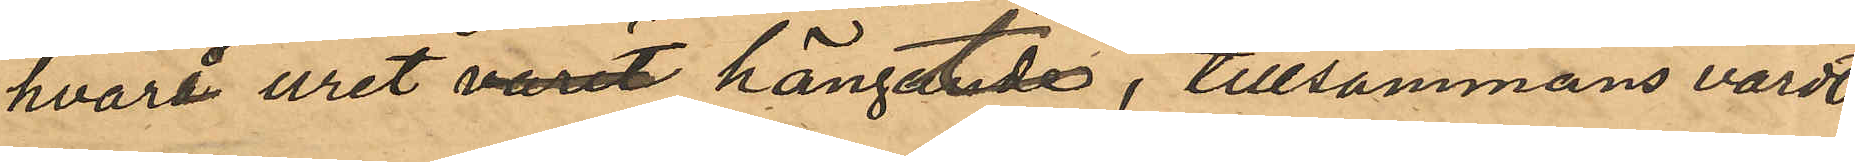hvarå uret varit hängtande, tillsammans värdt
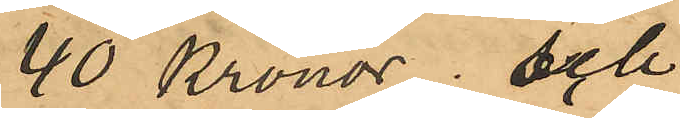40 Kronor; och
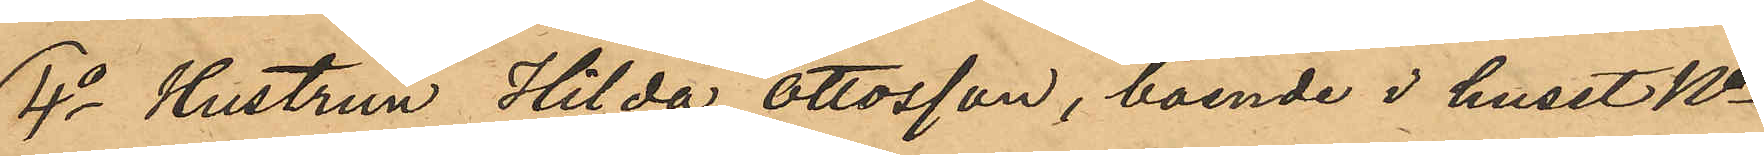4o Hustrun Hilda Ottosson, boende i huset No
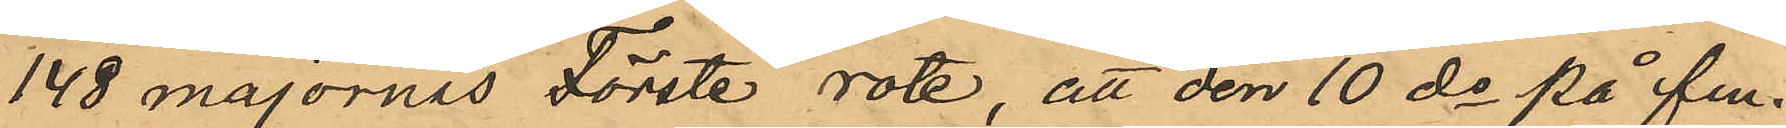148 majornas Förste rote, att den 10 de på fm
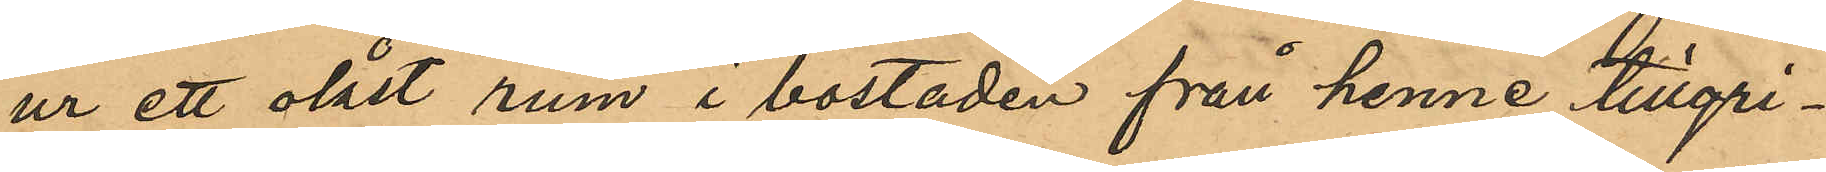ur ett olåst rum i bostaden från henne tillgri¬
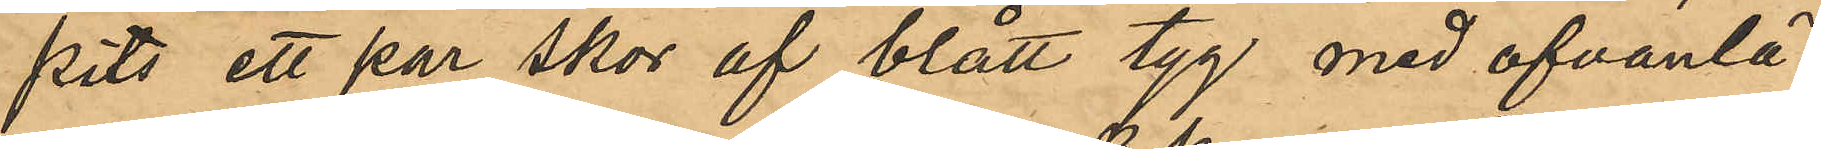pits ett par skor af blått tyg med ofvanlä¬
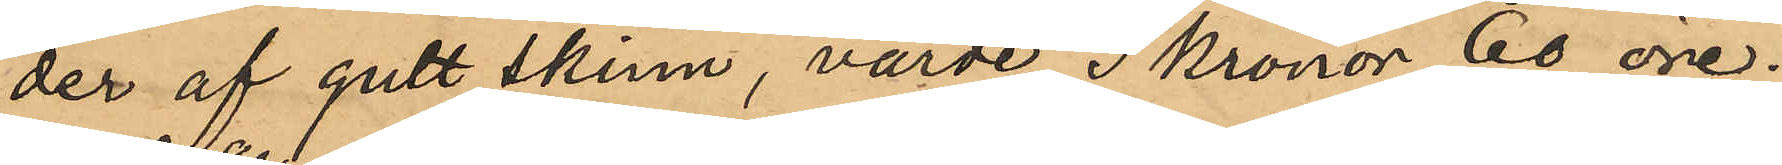der af gult skinn, värde 3 kronor 60 öre.
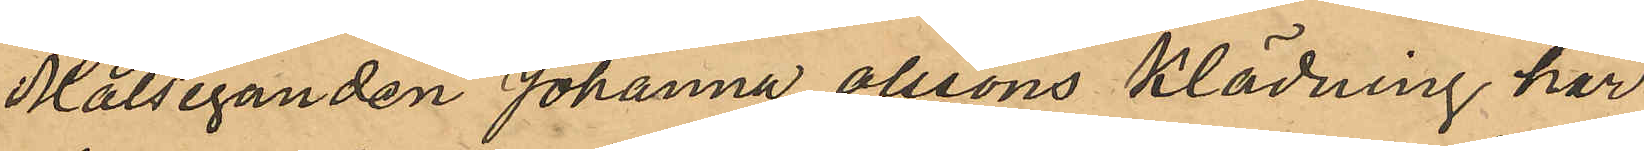Målseganden Johanna Olssons klädning har
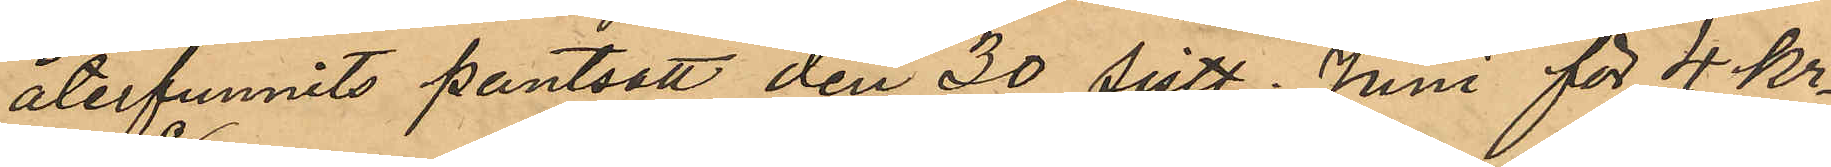återfunnits pantsatt den 30 sistl. Juni för 4 kr
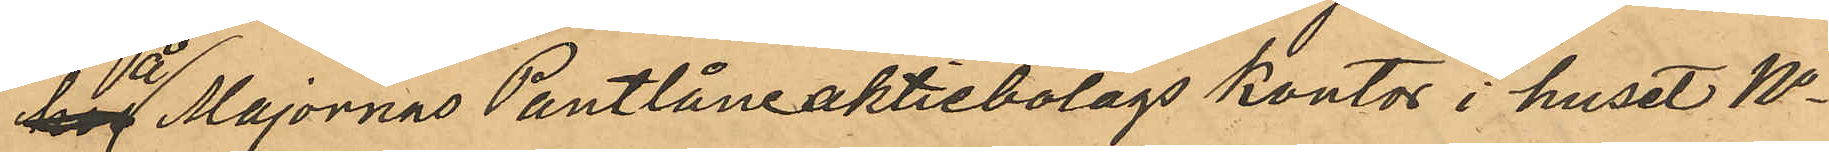å Majornas Pantlåneaktiebolags kontor i huset No
